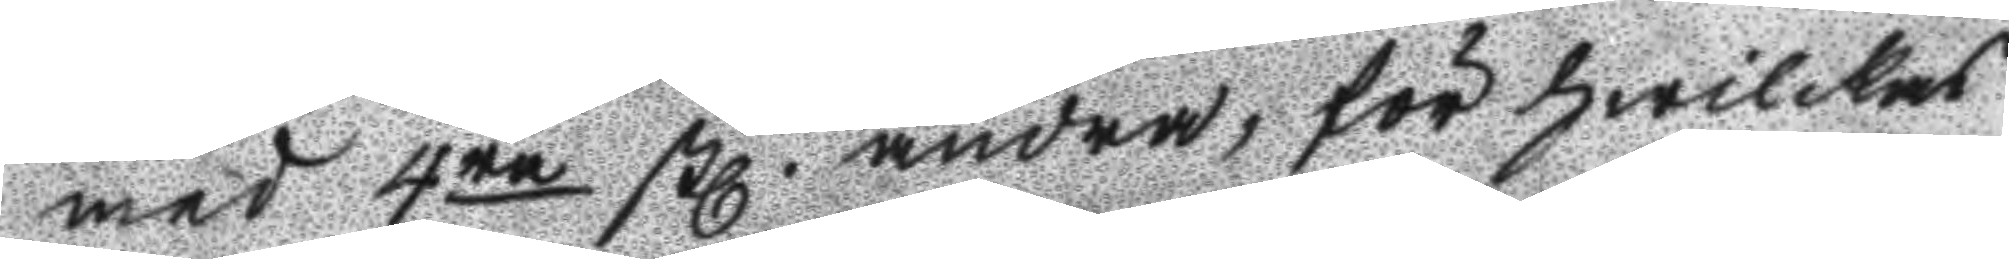med 4ne stl. andra, för hwilkas
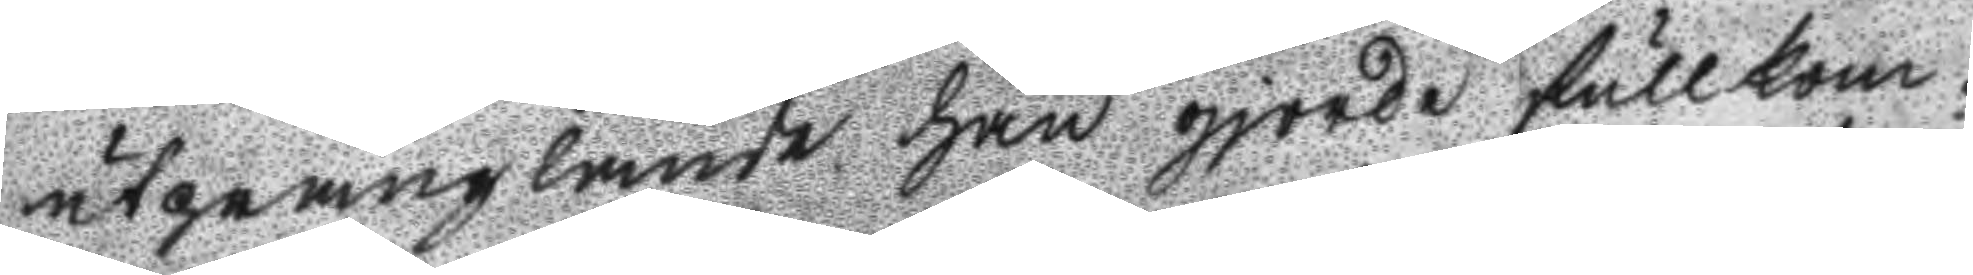utprånglande han gjorde fullkom¬
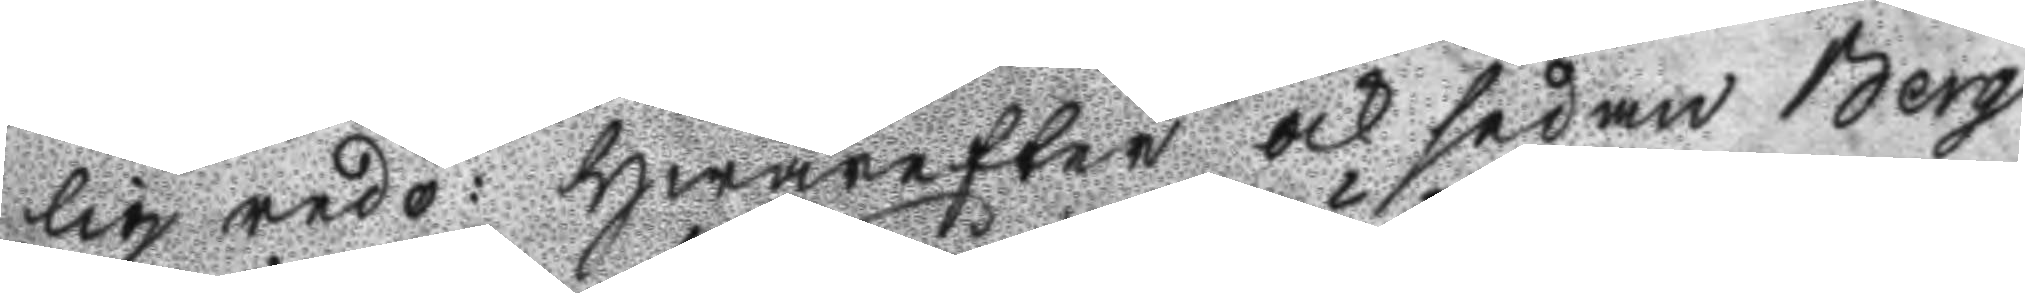lig redo: Hwarefter och sådan Berg
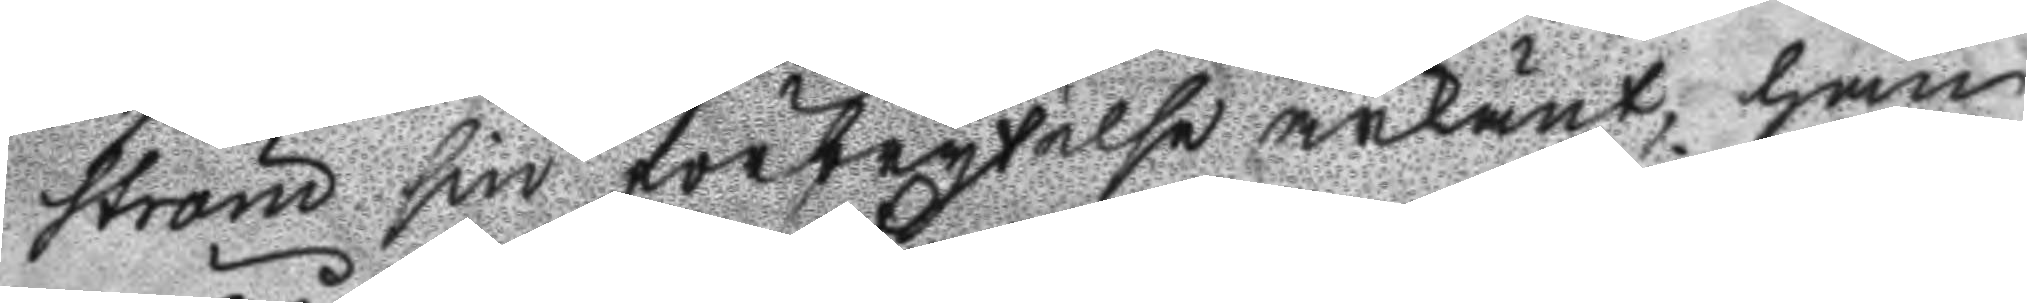ström sin förbrytelse ärkänt, han
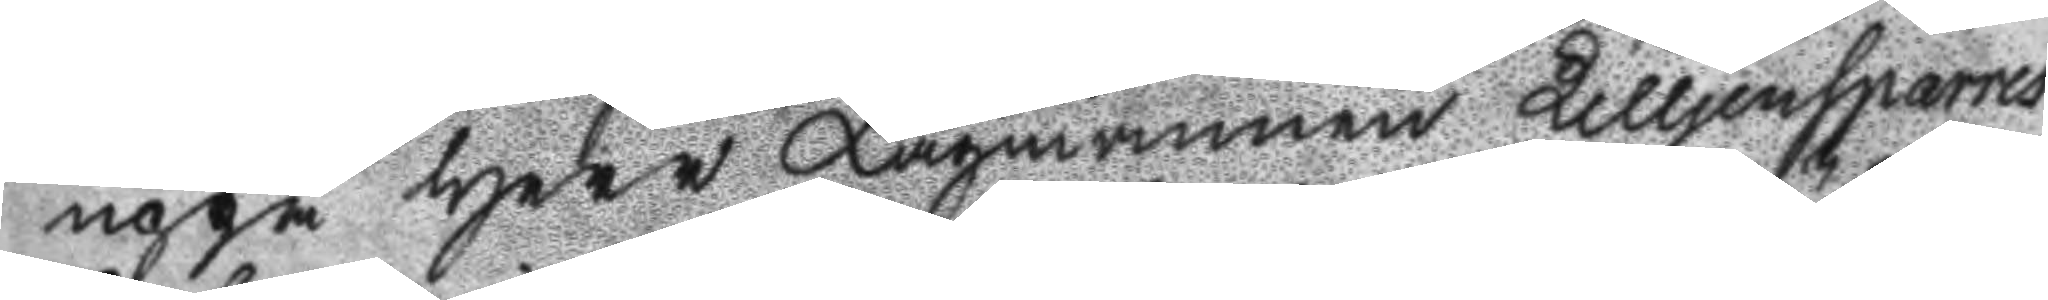uppå Herr Lagmannen Lilljensparres
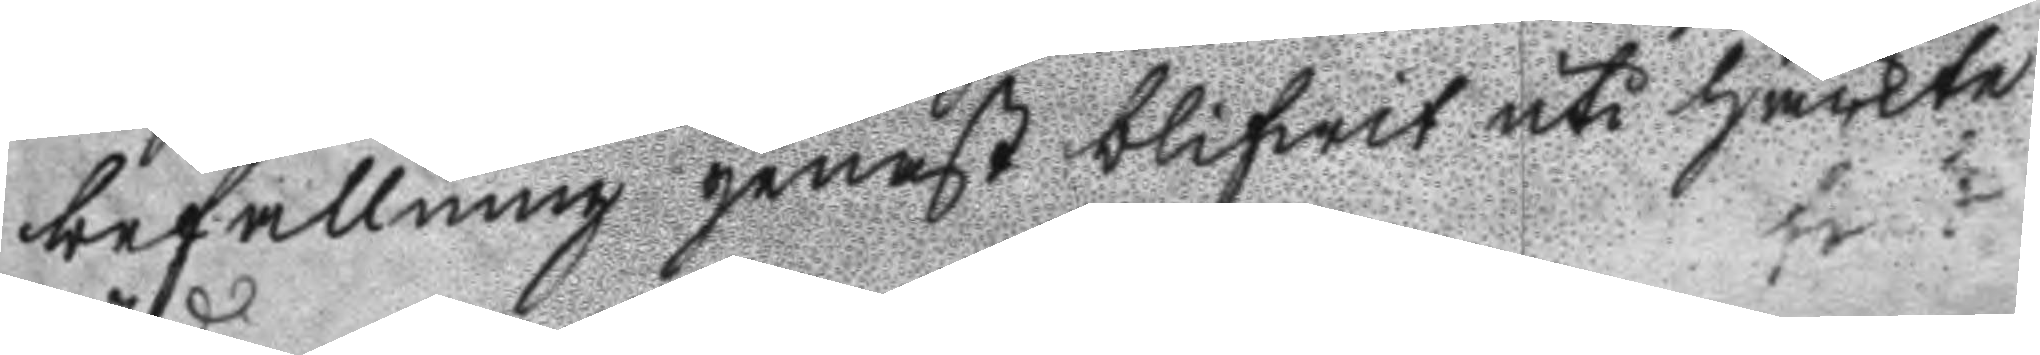befallning genast blifwit uti häckte
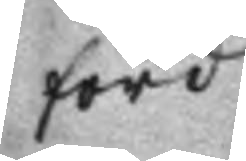förd
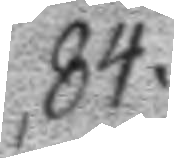84.
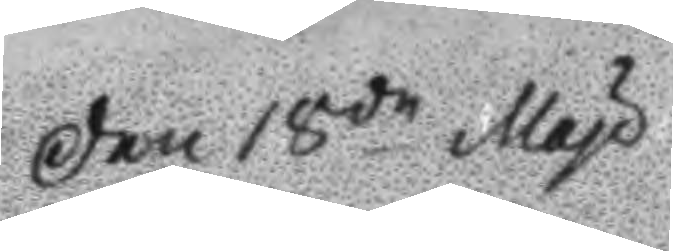Den 18de May
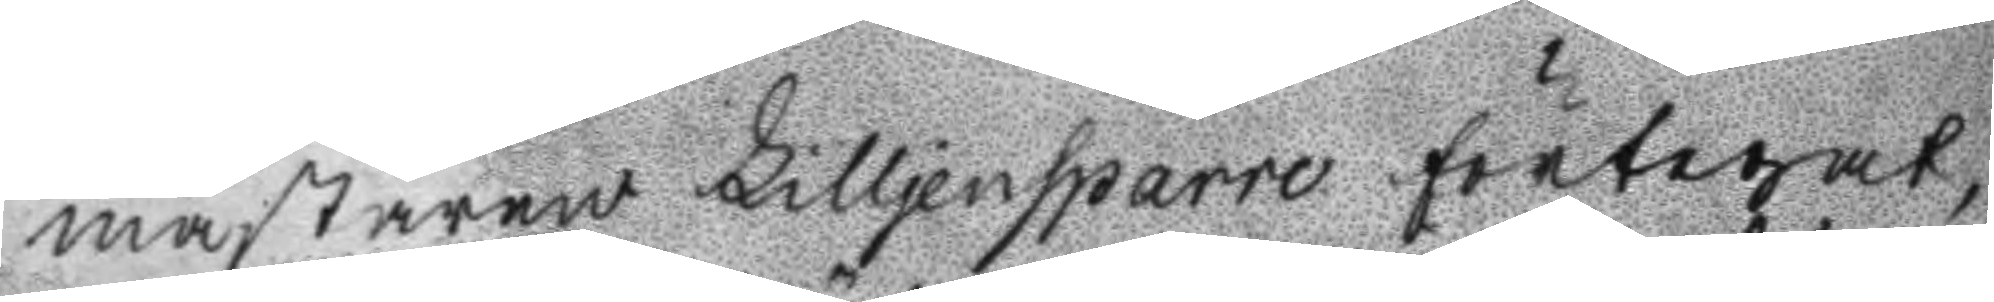mästaren lilljensparre förtegat
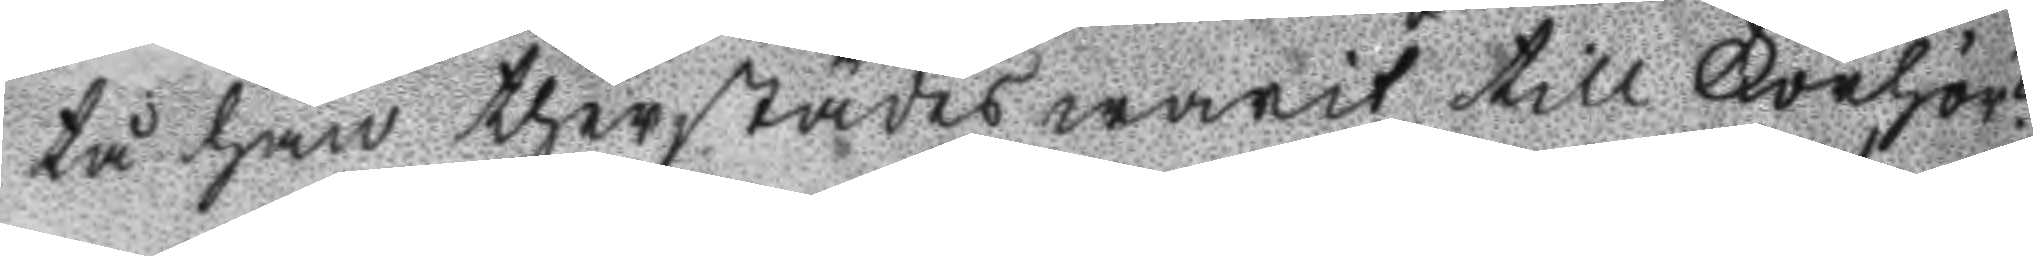tå han therstädes warit till Förhör?
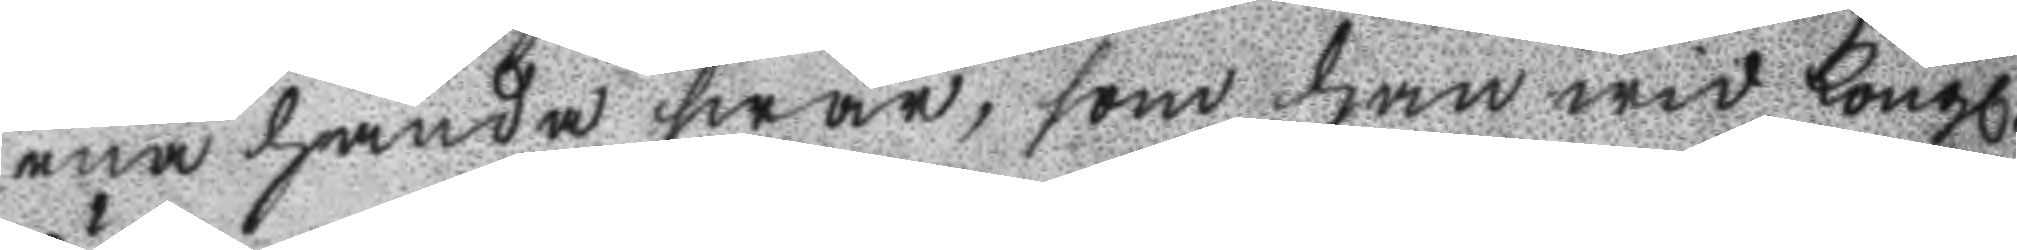ena handa swar, som han wid Kongl.
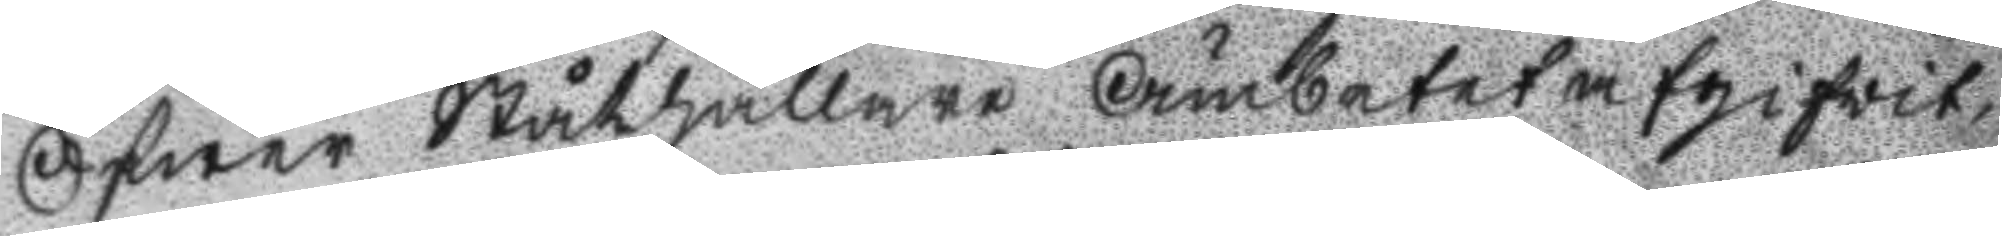Öfwer Ståthållare Ämbetet afgifwit,
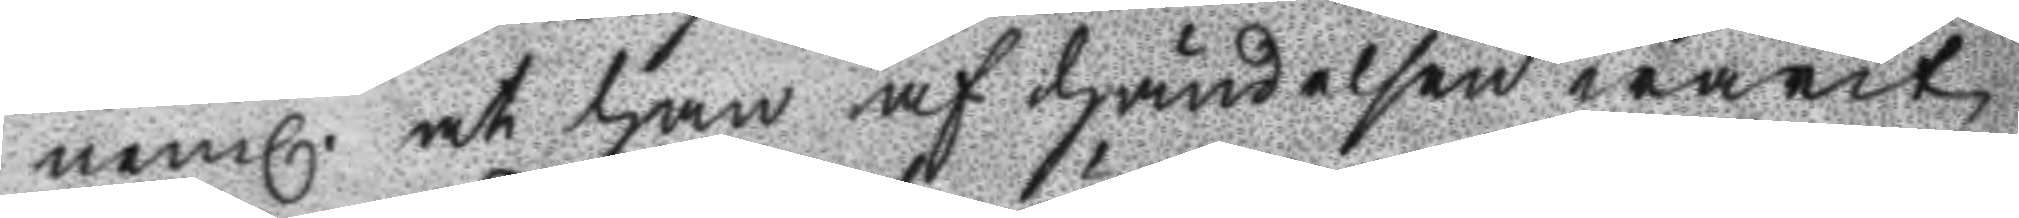neml. at han af händelsen warit
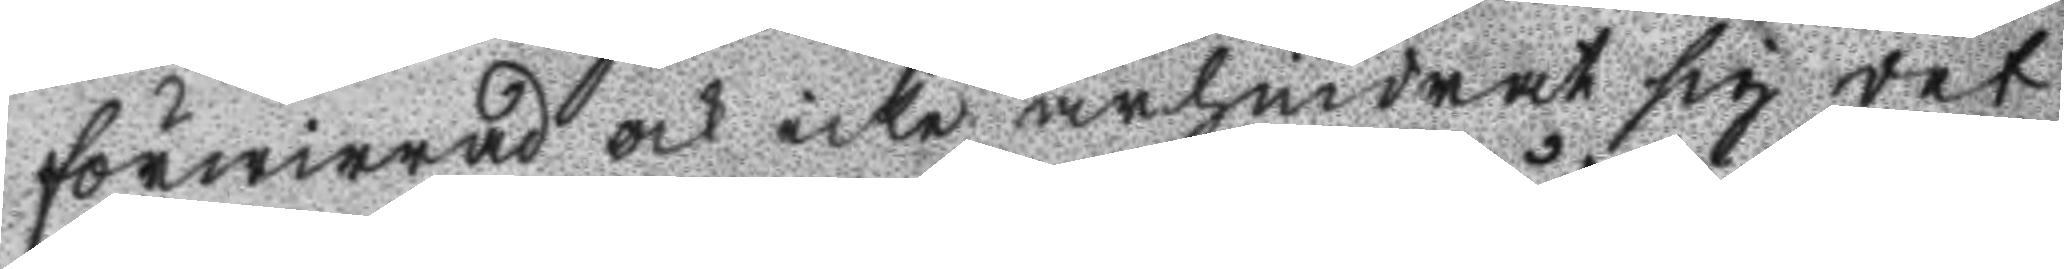förwirrad och icke ärhindrat sig det
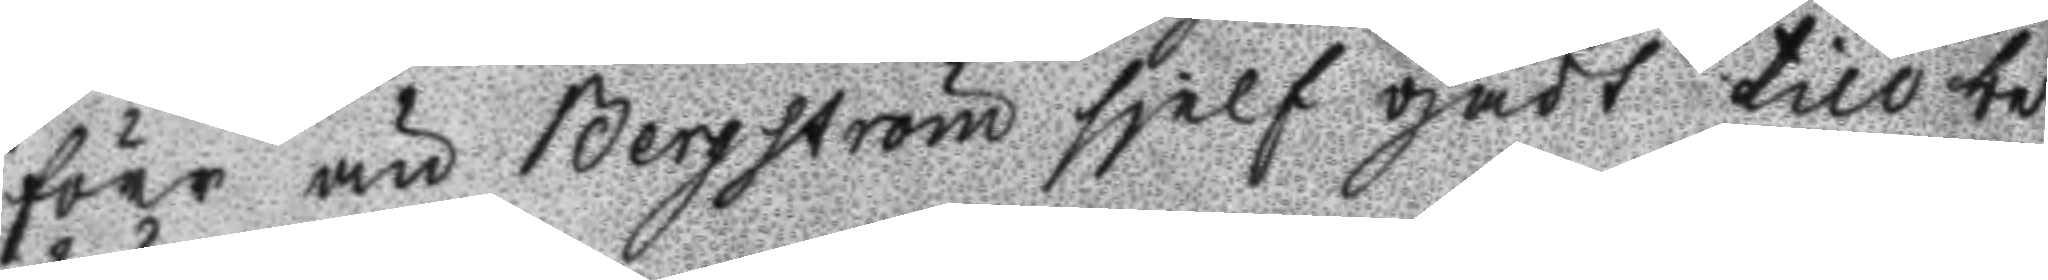förr än Bergström sielf gådt till be¬
